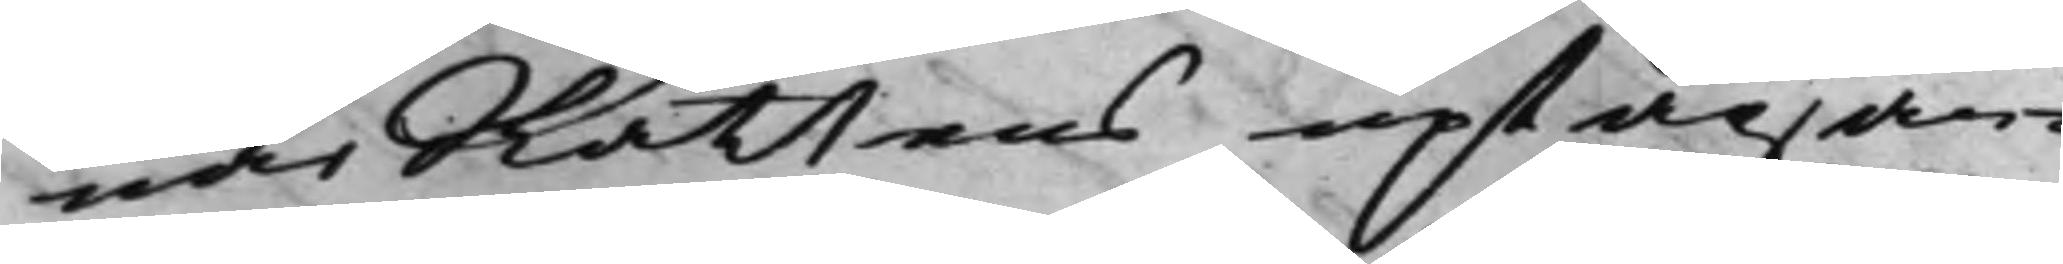närRättens uptagan
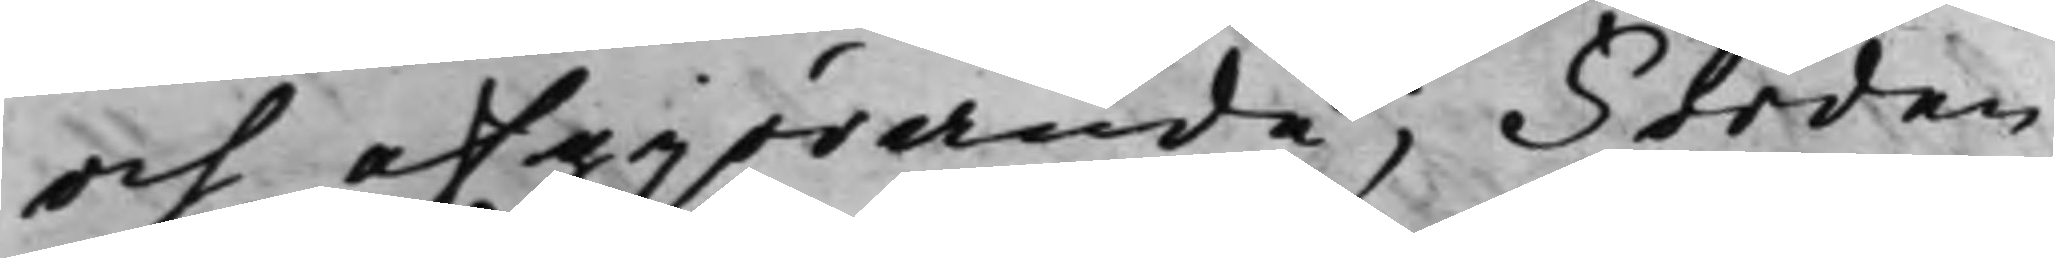och afgiörande; Förden¬
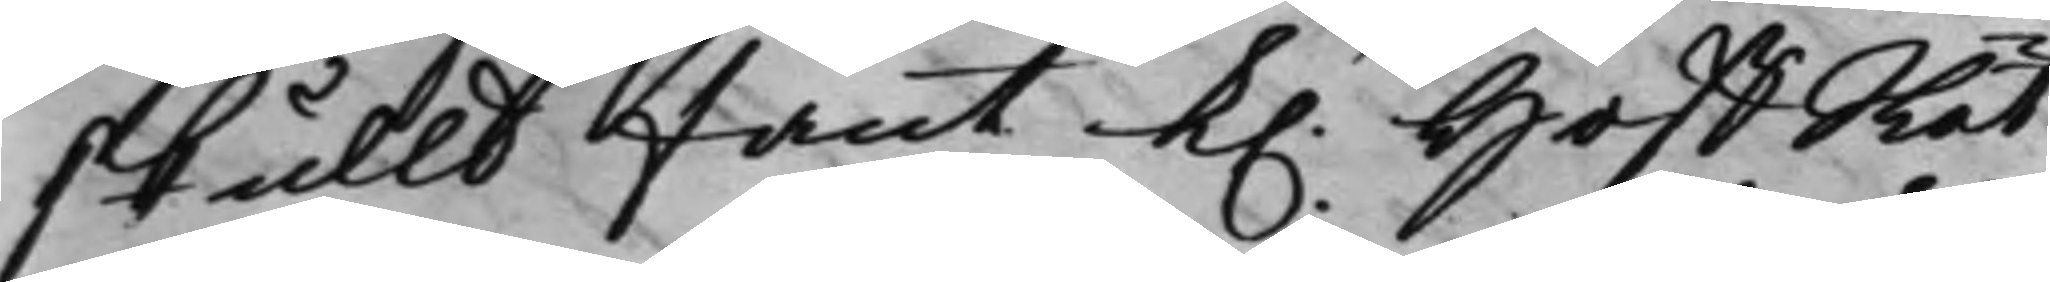skulld fant K. HoffRät¬
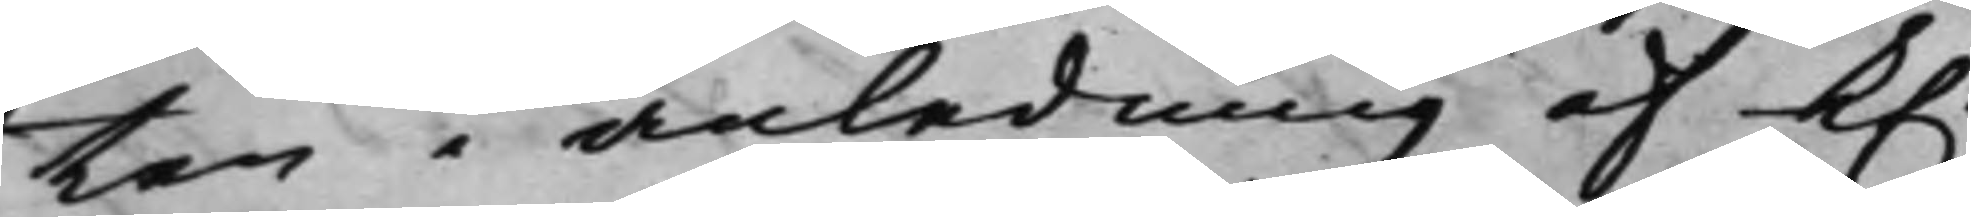ten i anledning af K.
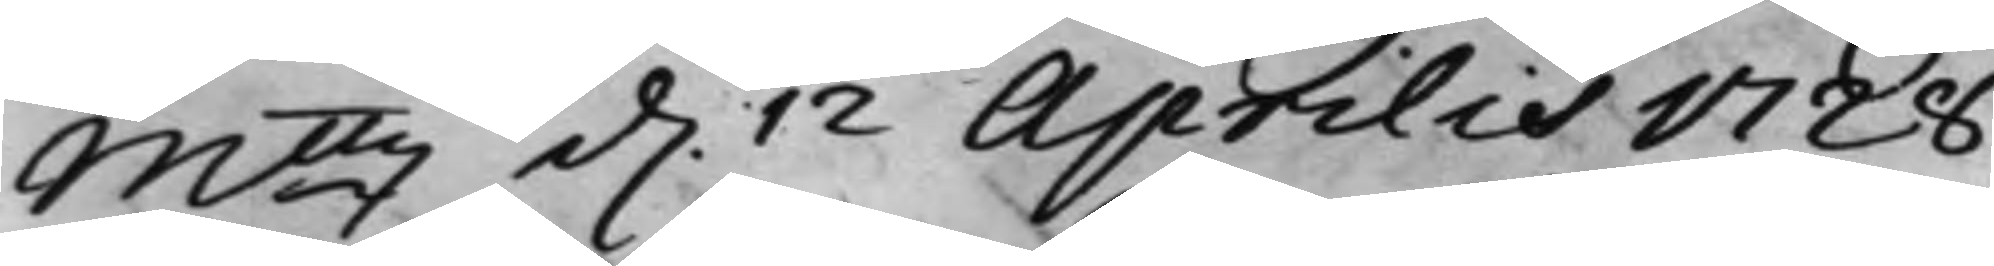Mttz d. 12 Aprilis 1728
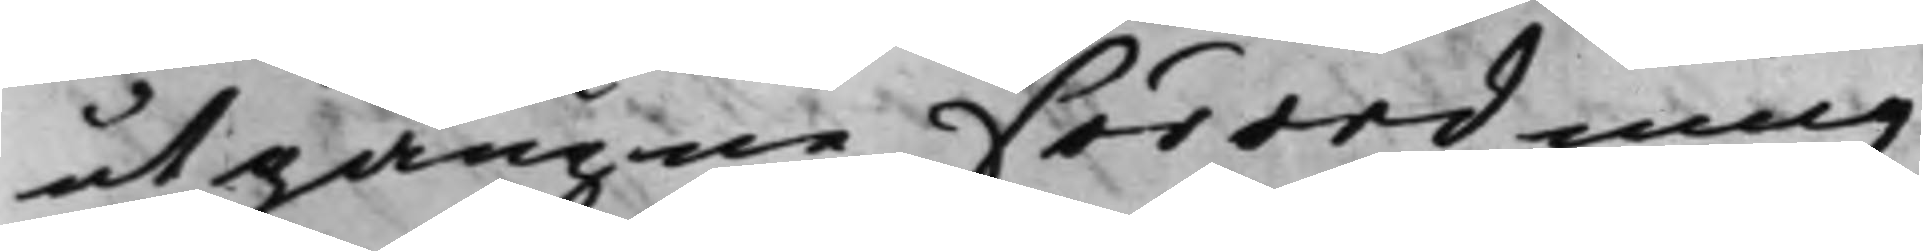utgångne förordning
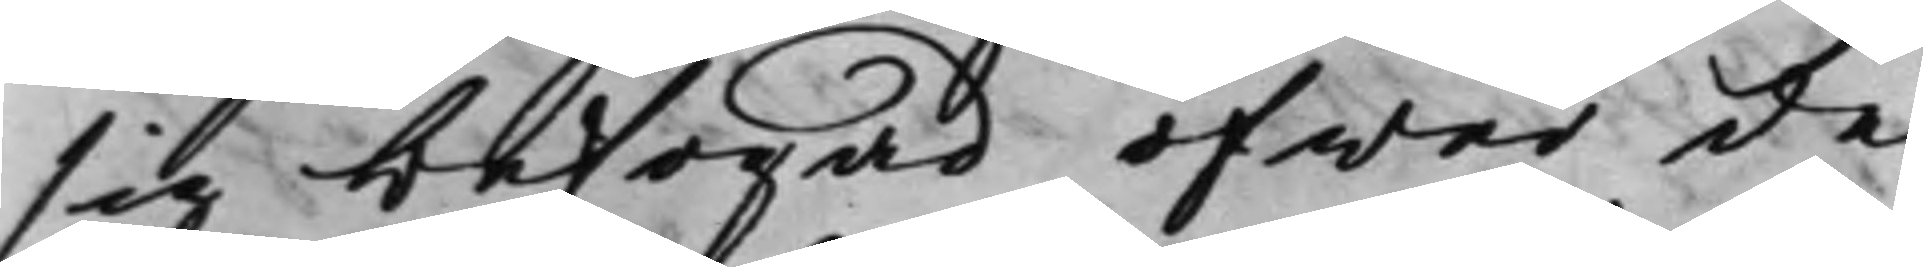sig befogad öfwer de
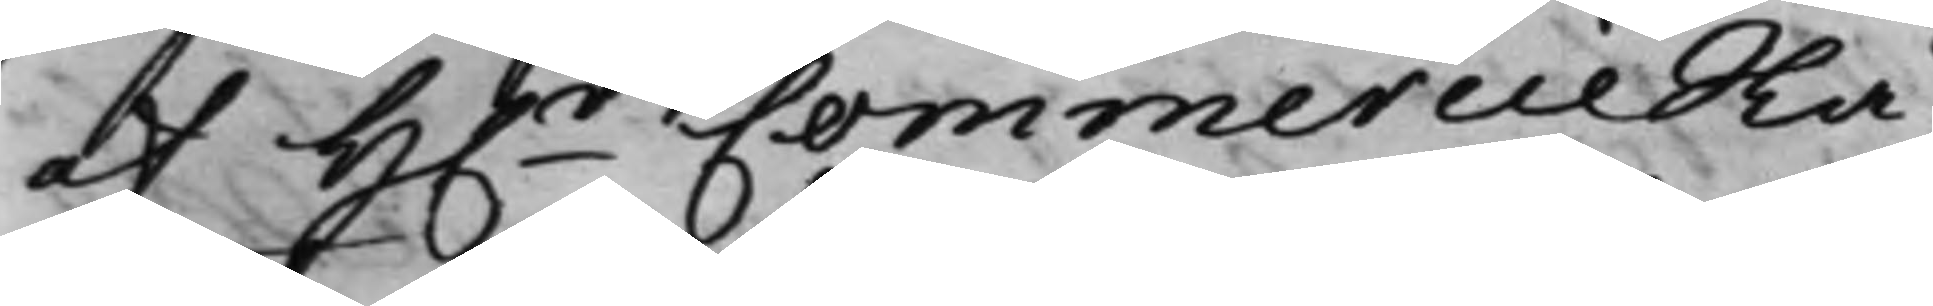af H.r CommercieRå¬
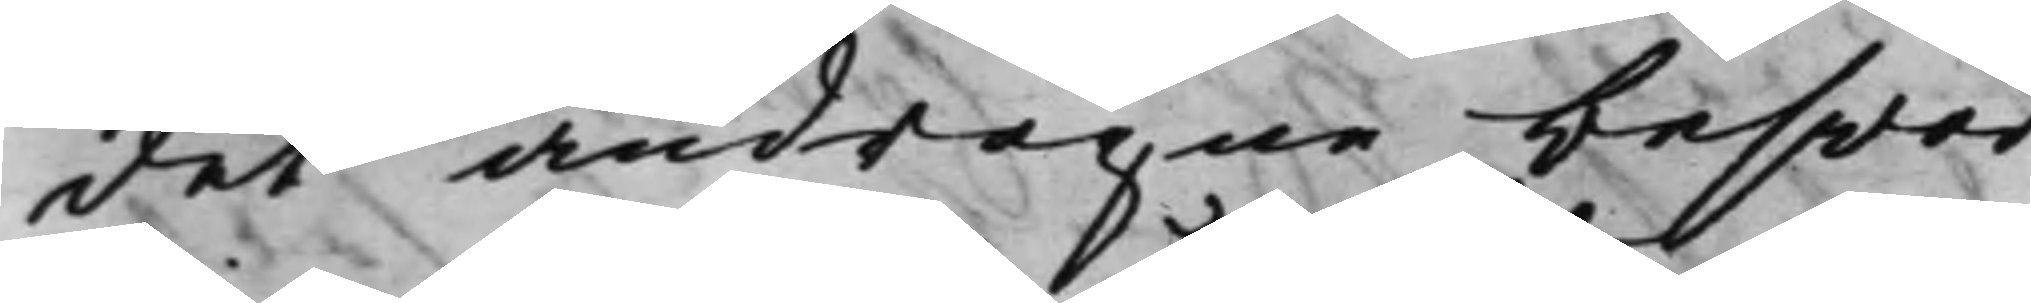det andragne beswär
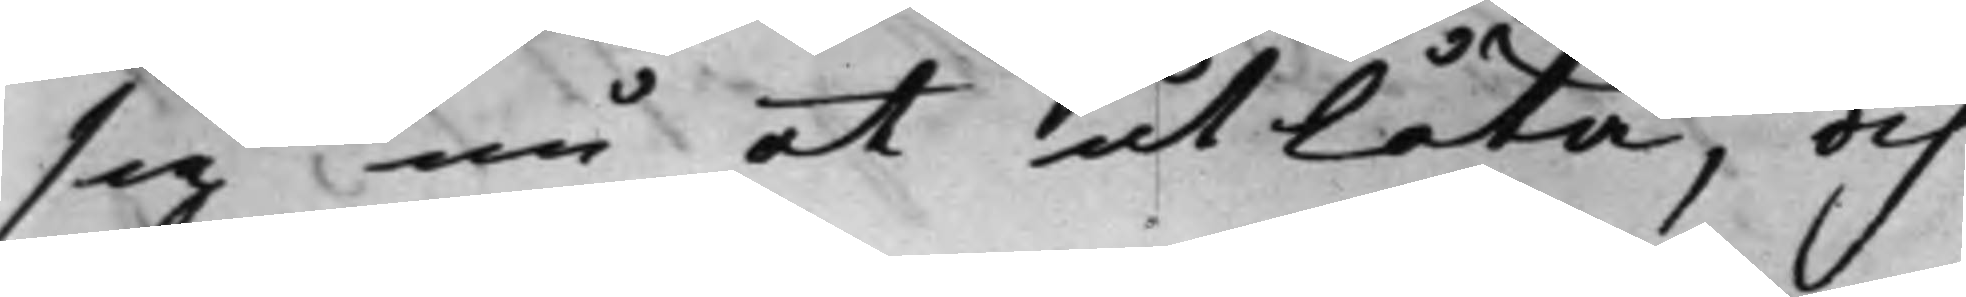sig nu at utlåta, och
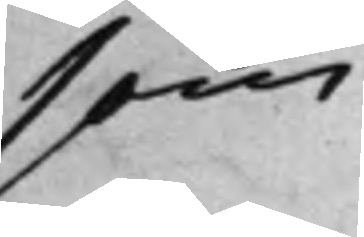som
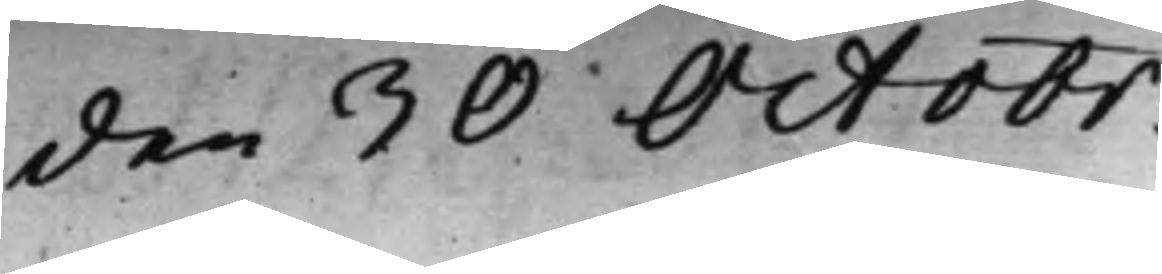den 30 Octobr.
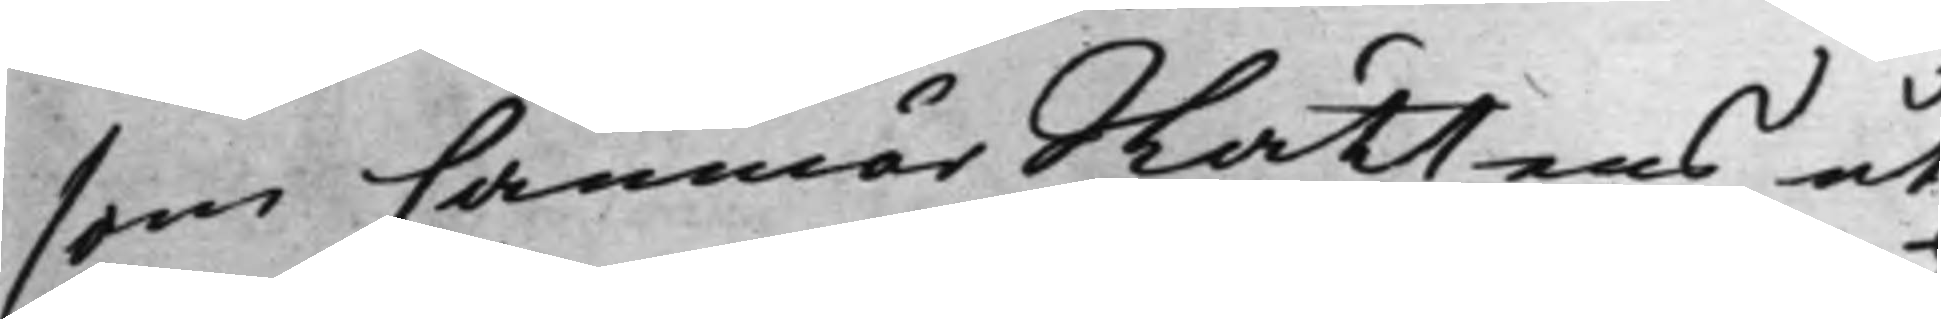som CamnärRättens ut¬
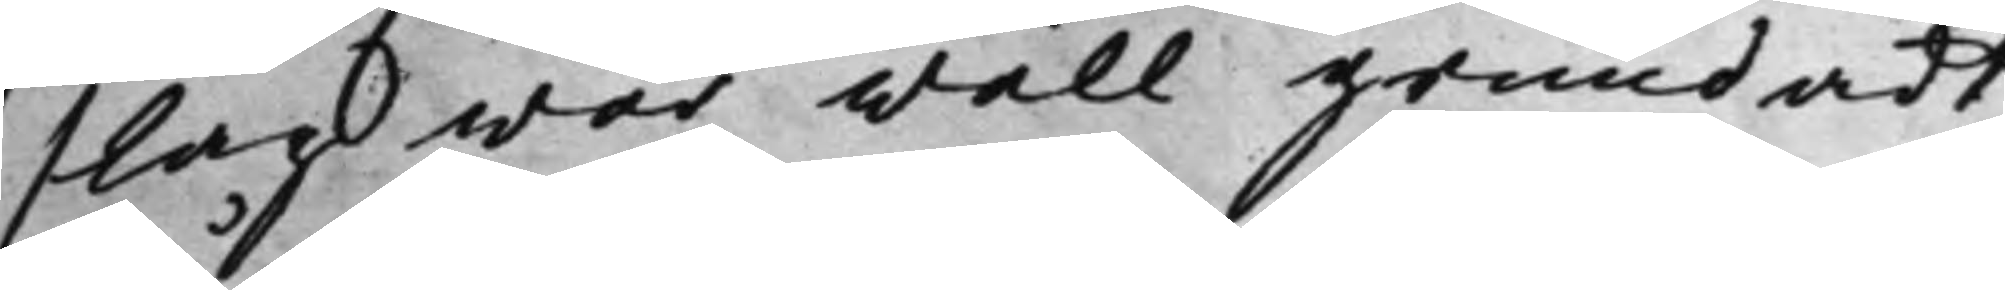slag war wäll grundadt;
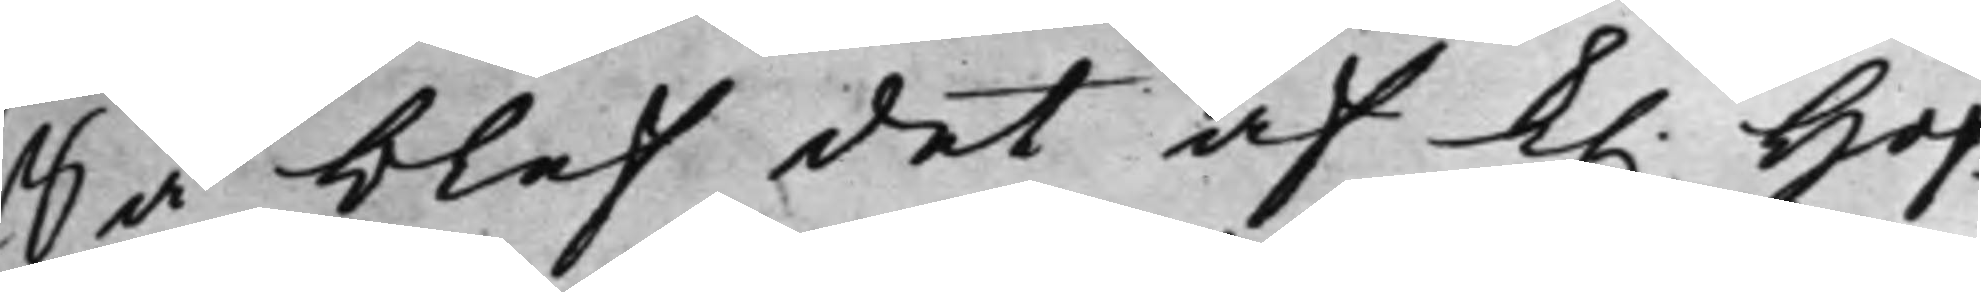Så blef det af K. Hof¬
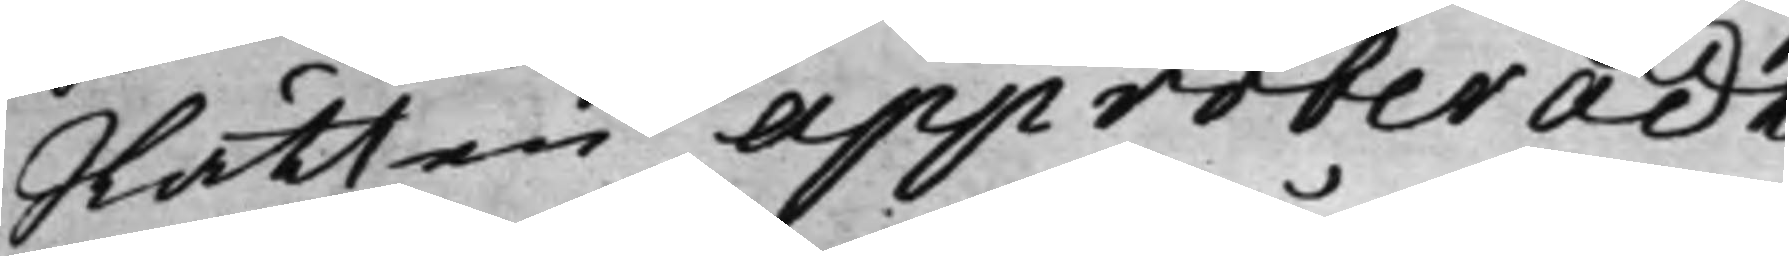Rätten approberadt.
